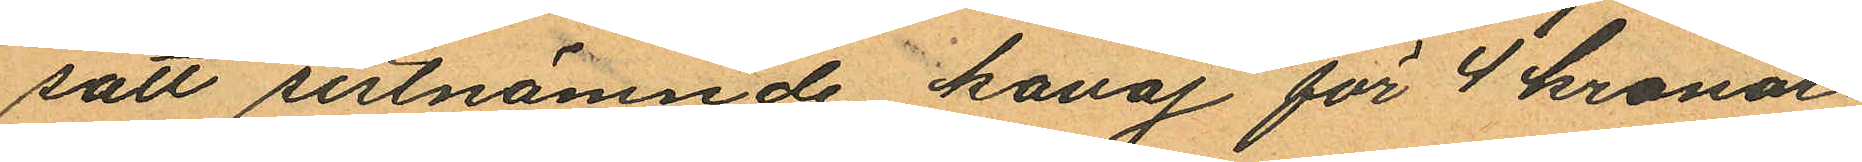satt sistnämnde kavaj för 4 kronor
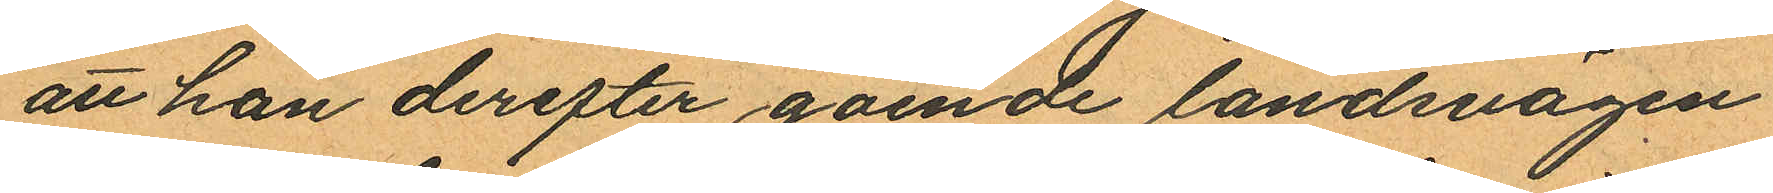att han derefter gående landsvägen
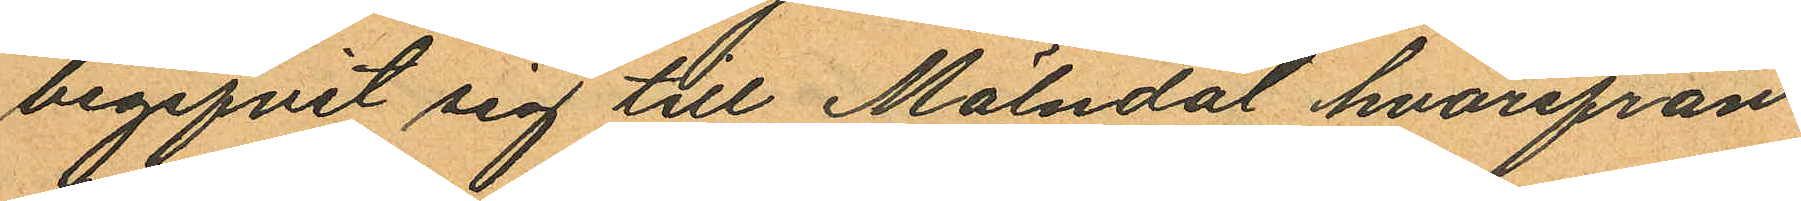begifvit sig till Mölndal hvarifrån
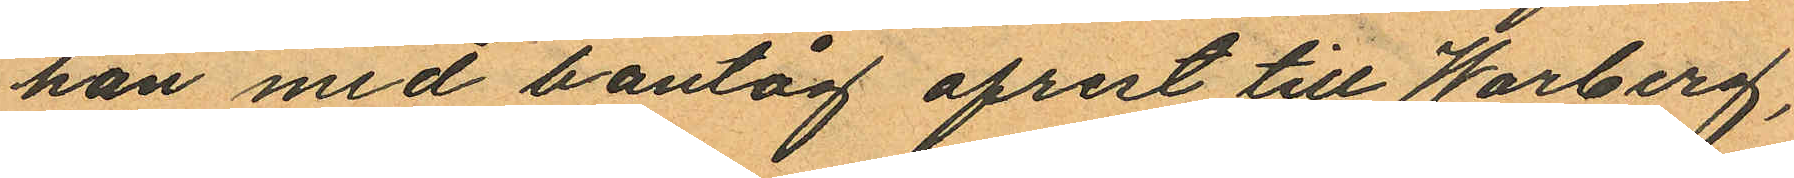han med bantåg afrest till Warberg,
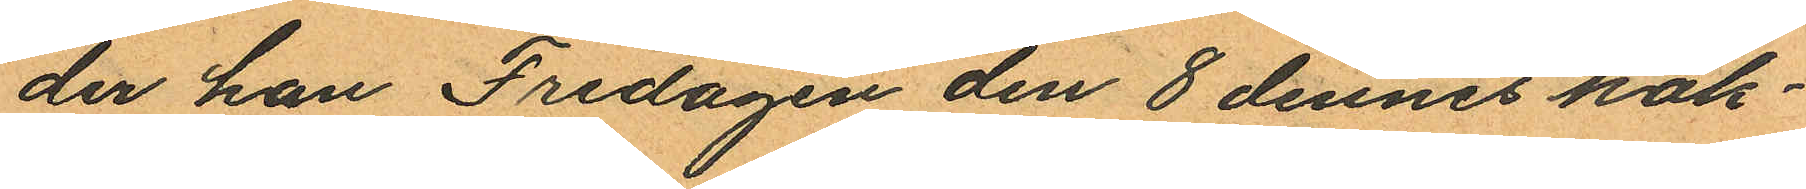der han Fredagen den 8 dennes häk¬
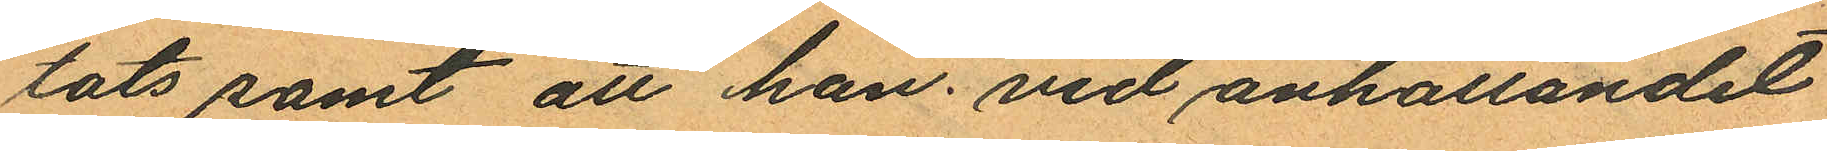tats samt att han vid anhållandet
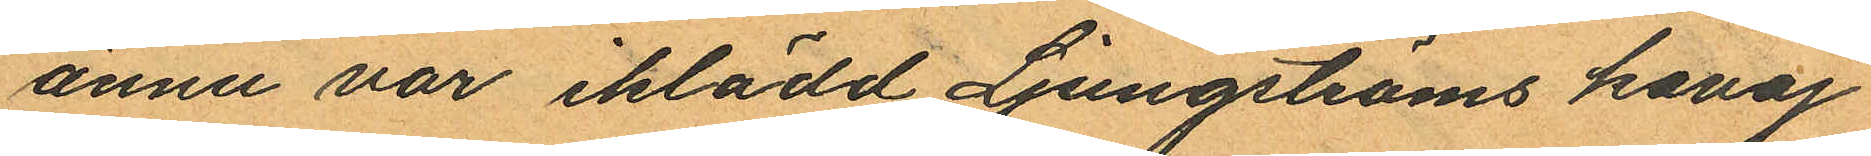ännu var iklädd Ljungströms kavaj
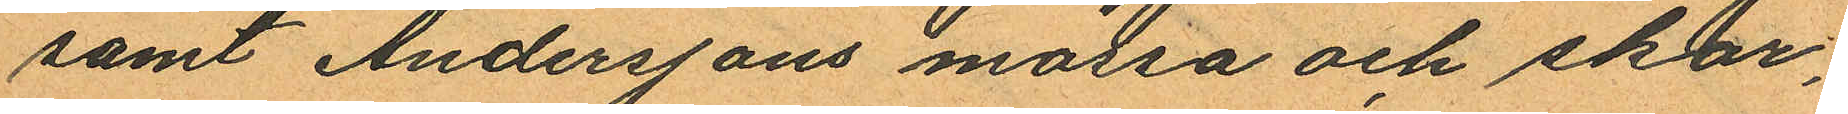samt Anderssons mössa och skor,
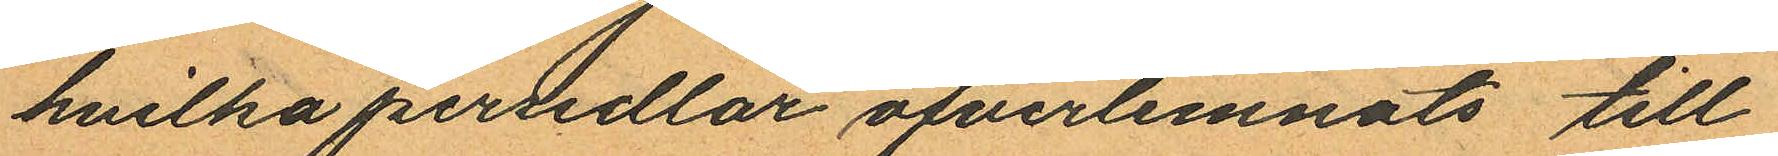hvilka persedlar öfverlemnats till
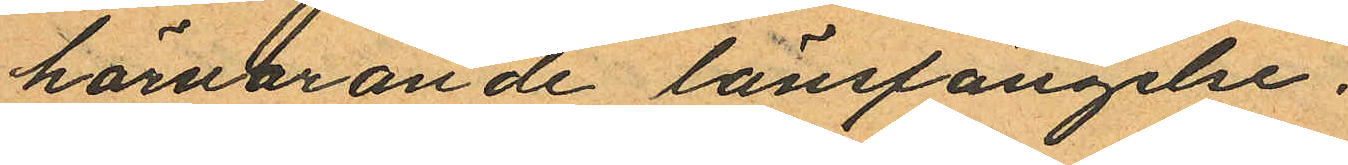härvarande länsfängelse.
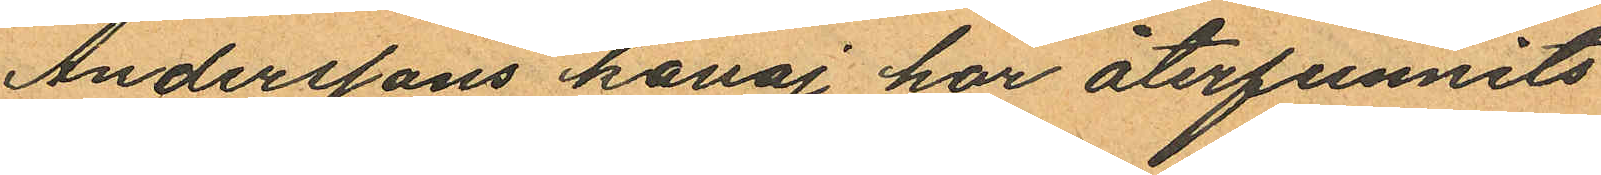Anderssons kavaj har återfunnits
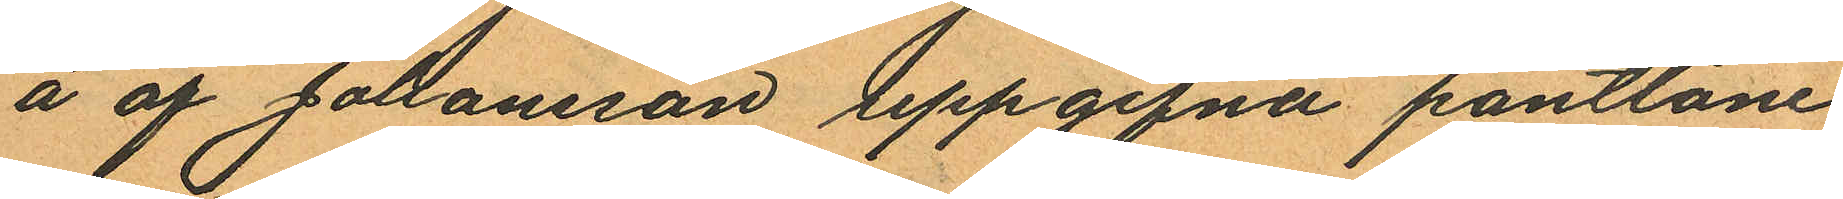å af Johansson uppgifna pantlåne
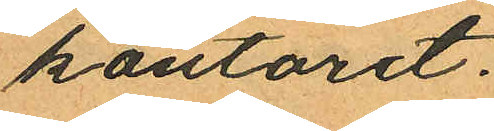kontoret.
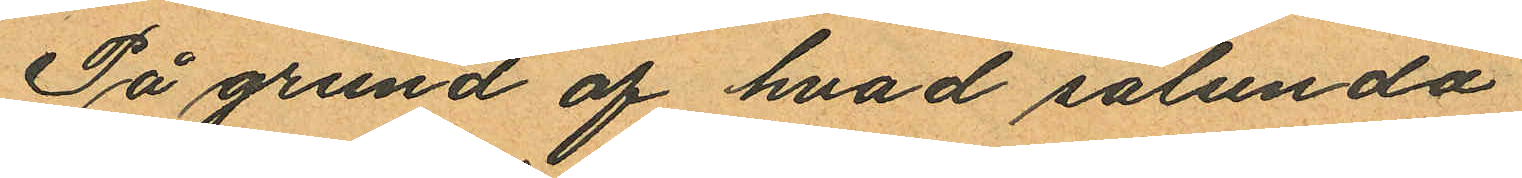På grund af hvad sålunda
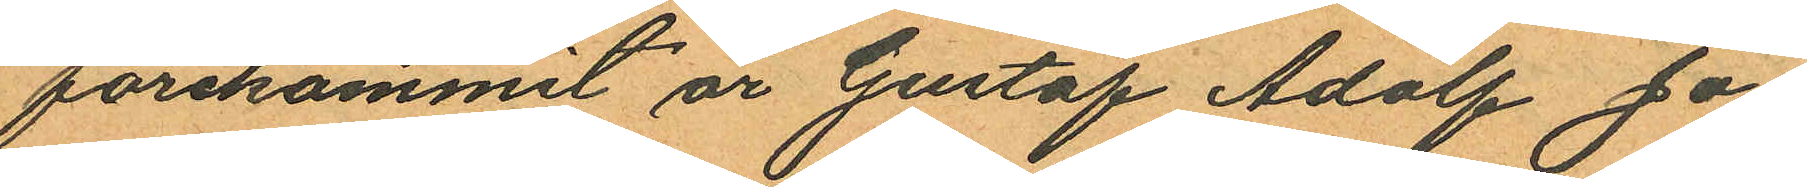förekommit är Gustaf Adolf Jo¬
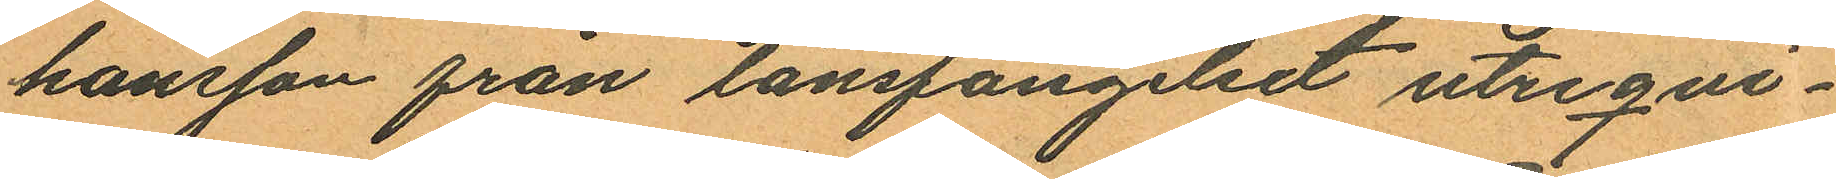hansson från länsfängelset utreqvi¬
